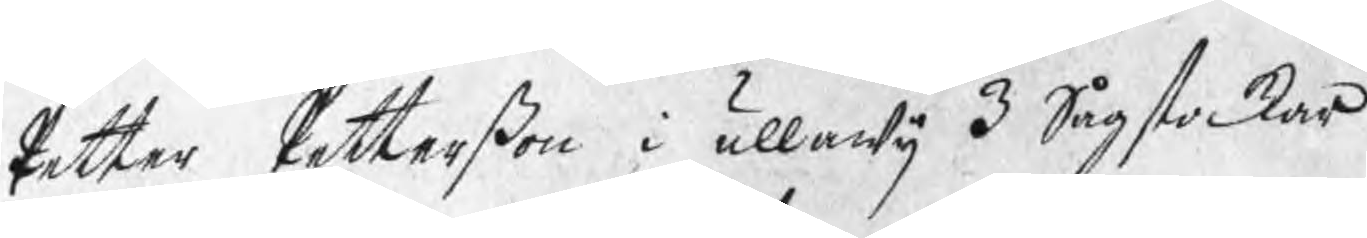 Petter Petterßon i ullawij 3 Sågstockar
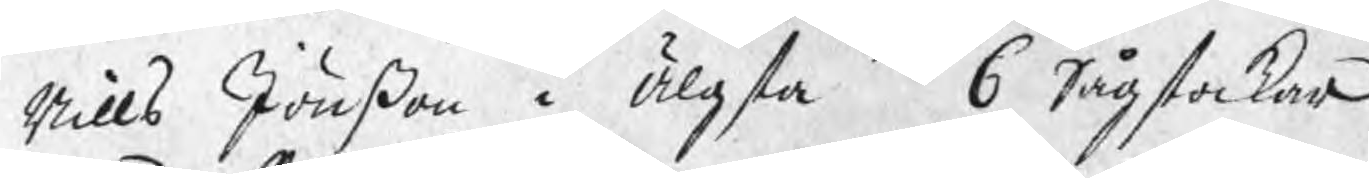Nills Jönßon i Älgsta  6 Sågstockar
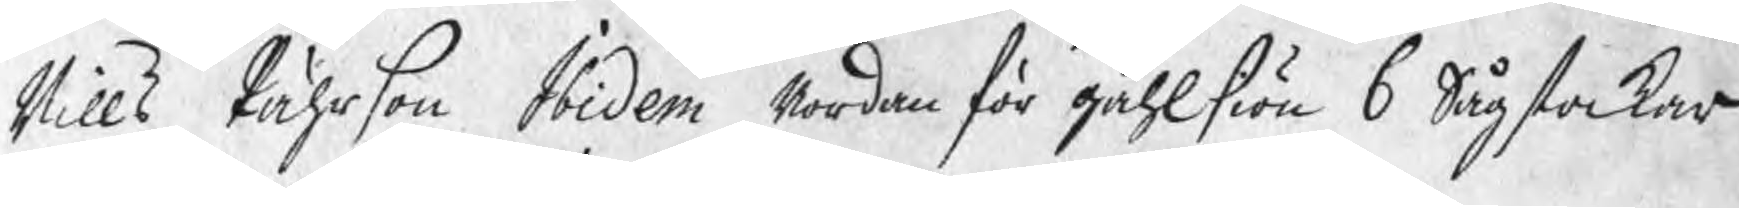Nills Pährson Ibidem Nordan för gählsiön 6 Sågstockar
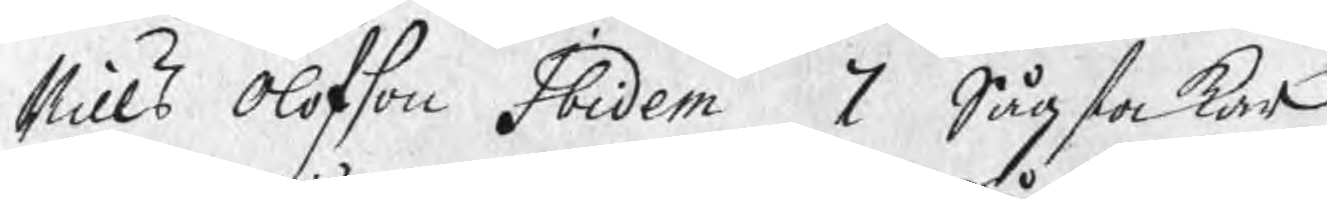Nills Olofson Ibidem  7 Sågstockar
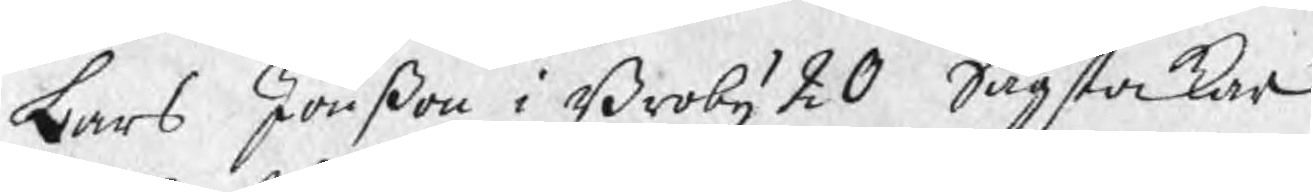Lars Jönßon i Broby 20 Sågstockar
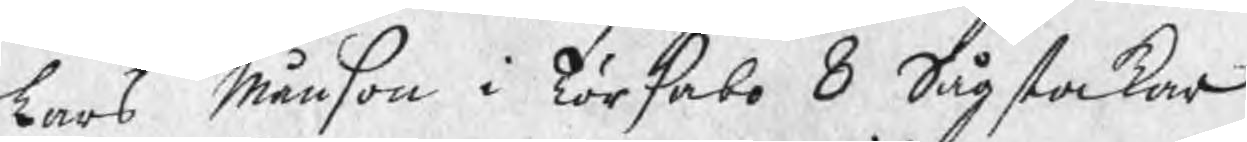Lars Månson i Törsabo 8 Sågstockar
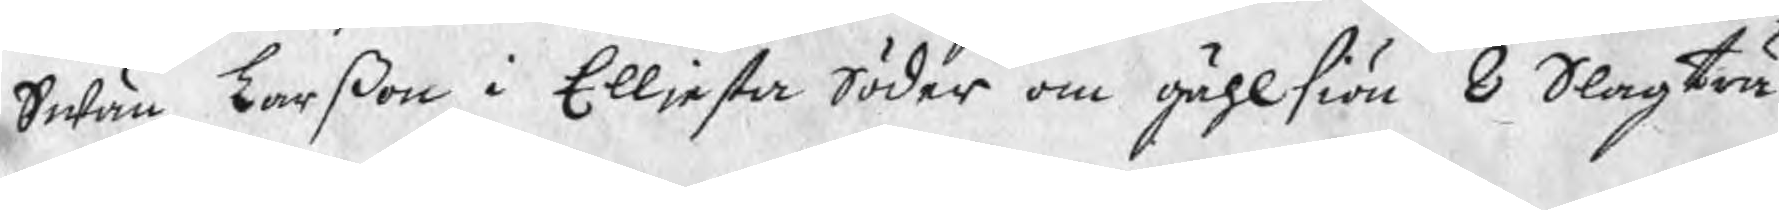Swän Larßon i Elliesta Söder om gählsiön 8 Slagträ
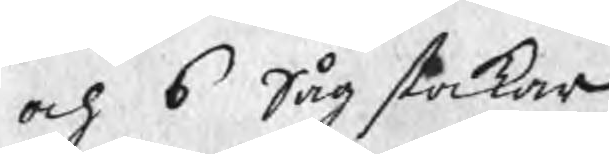och 6 Sågstockar
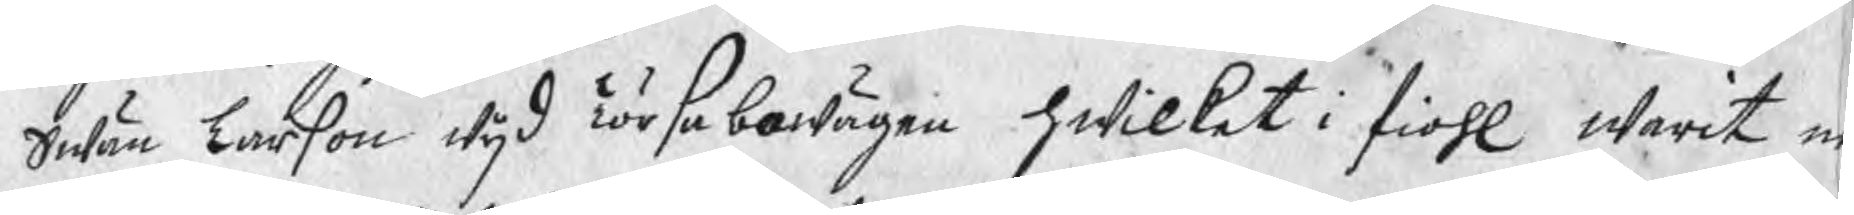Swän Larson wijd Törsebowägen hwilket i fiohl warit n
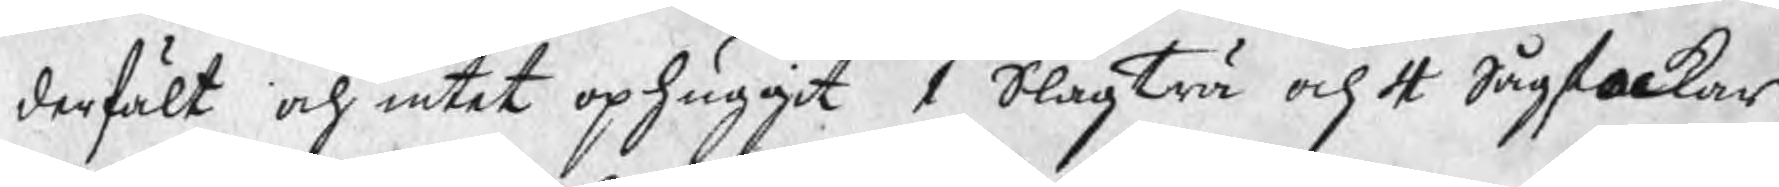derfält och intet ophuggit 1 Slagträ och 4 Sågstockar
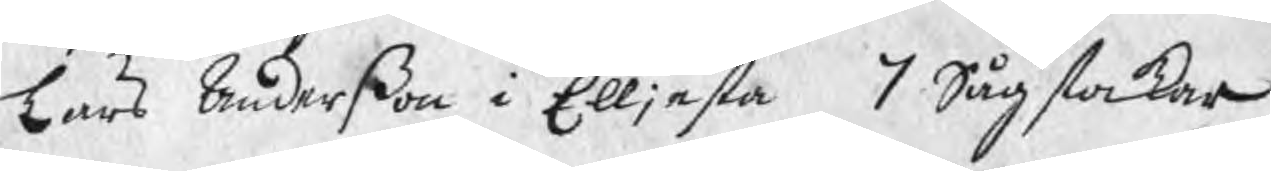Lars Anderßon i Elljesta 7 Sågstockar
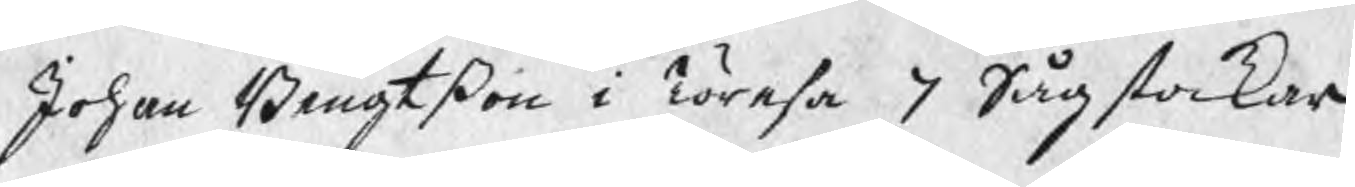Johan Bengtßon i Töresa 7 Sågstockar
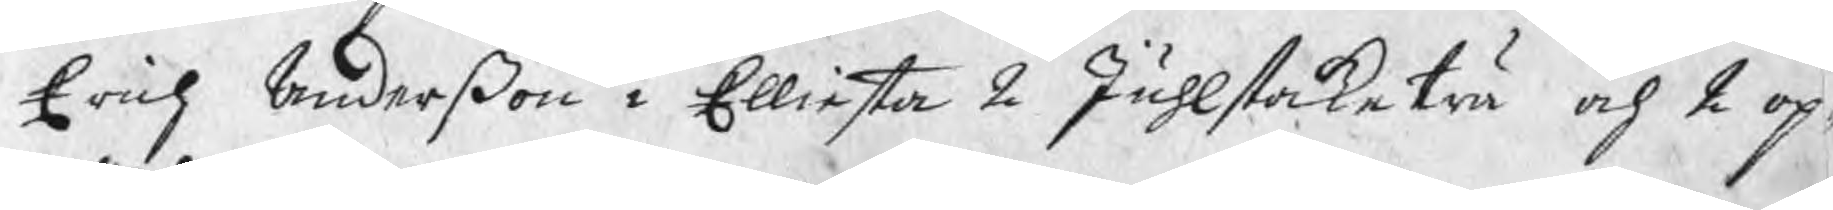Erich Anderßon i Elliesta 2 Juhlstocketrä och 2 op¬
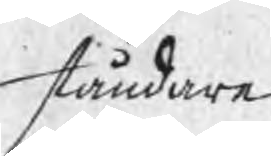ståndare
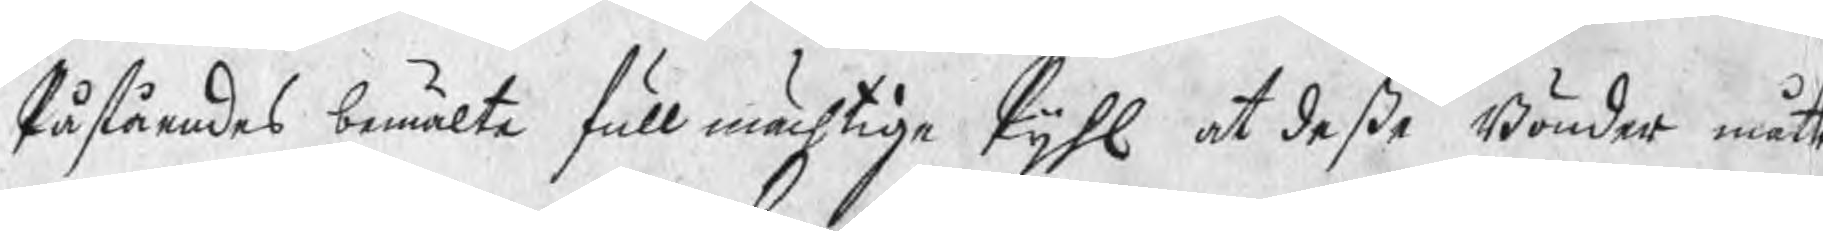Påståendes bemälte full mächtige Pijhl at deße Bönder måtte
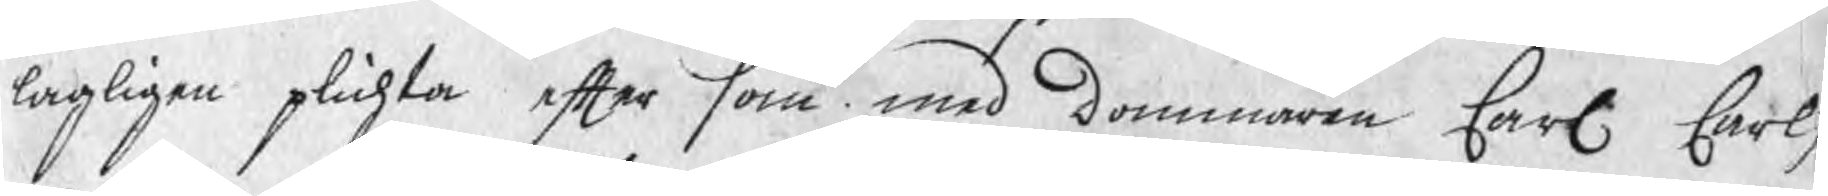lagligen plichta efter som med dommaren Carl Carls
